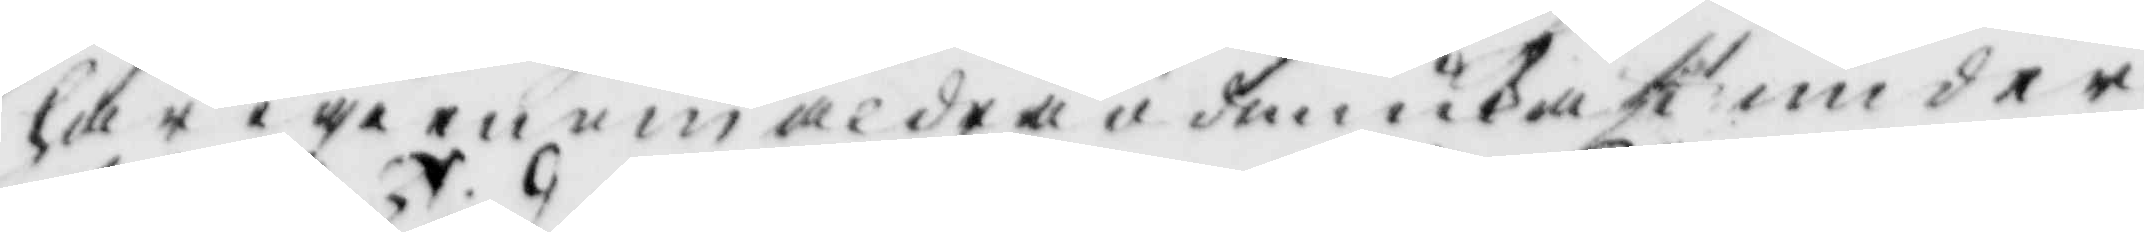här igenom aldra ödmiukast under¬
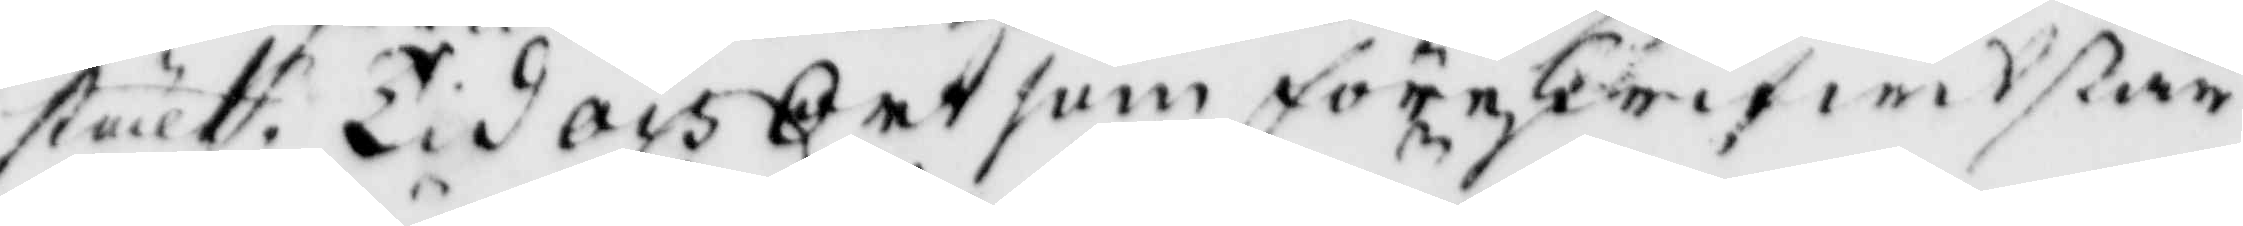ställt. Tid och Ort som föreskrifwen står
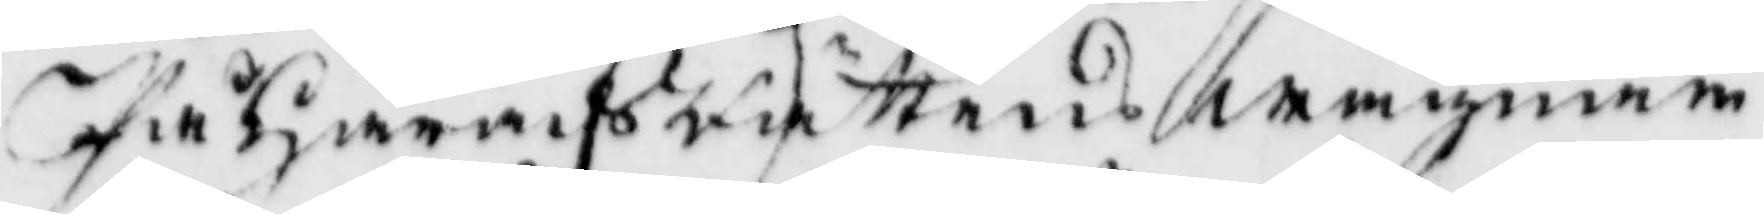På HäradsRättens wägnar
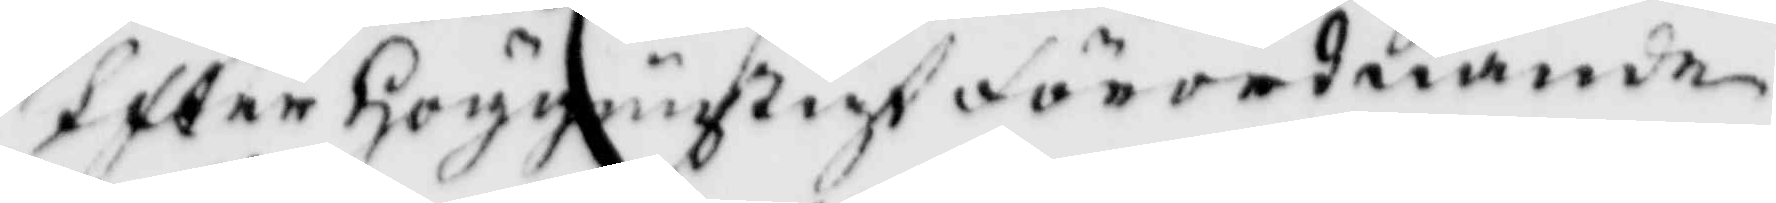Efter Höggunstigt förordnande
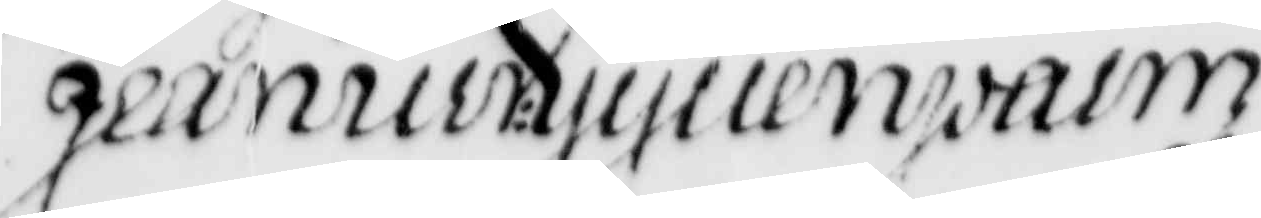jeanu:Gyllenpalm
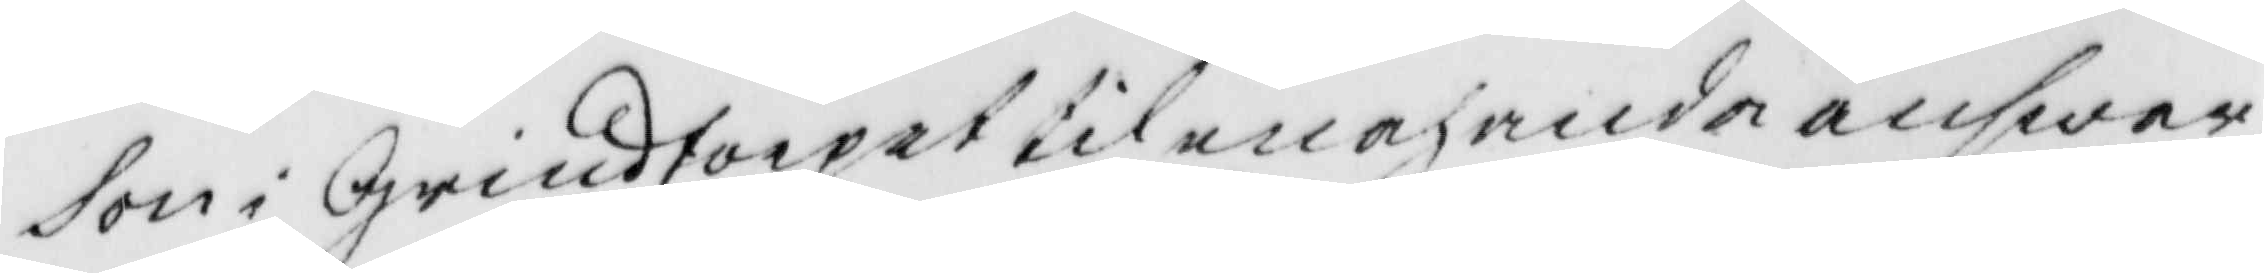son i Grindtorpet til en och anda answar,
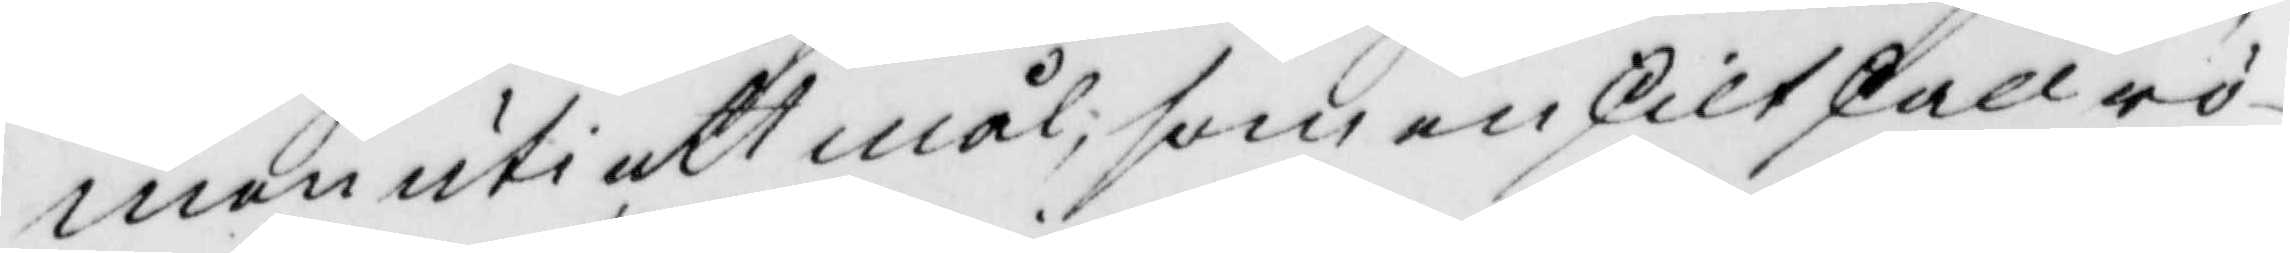men uti ett mål, som enskilt skall rö¬
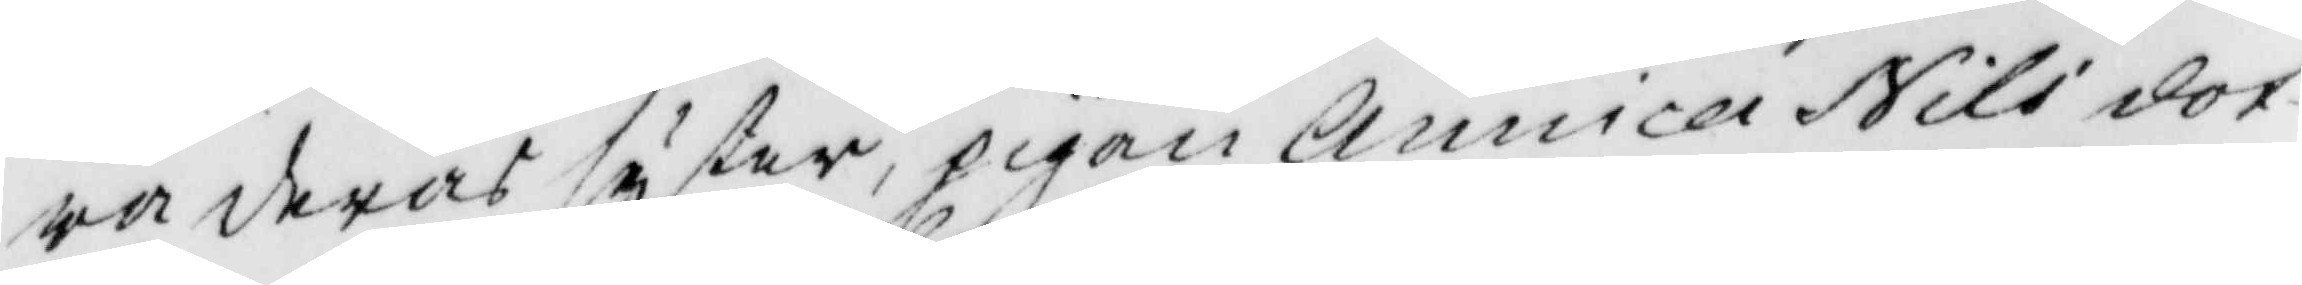ra deras syster, pigan Annica Nils dot¬
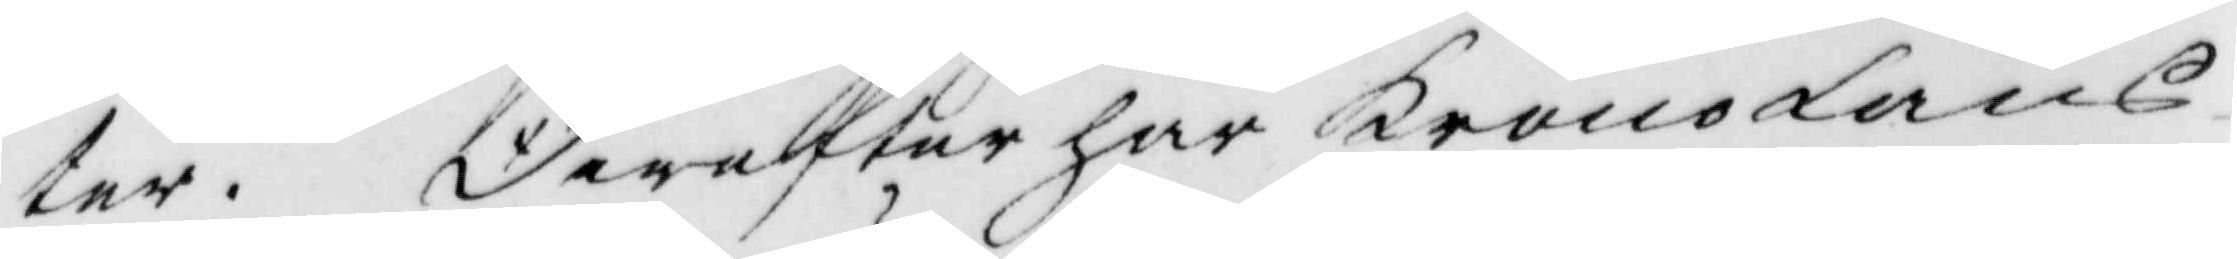ter. derefter har KronoLäns¬
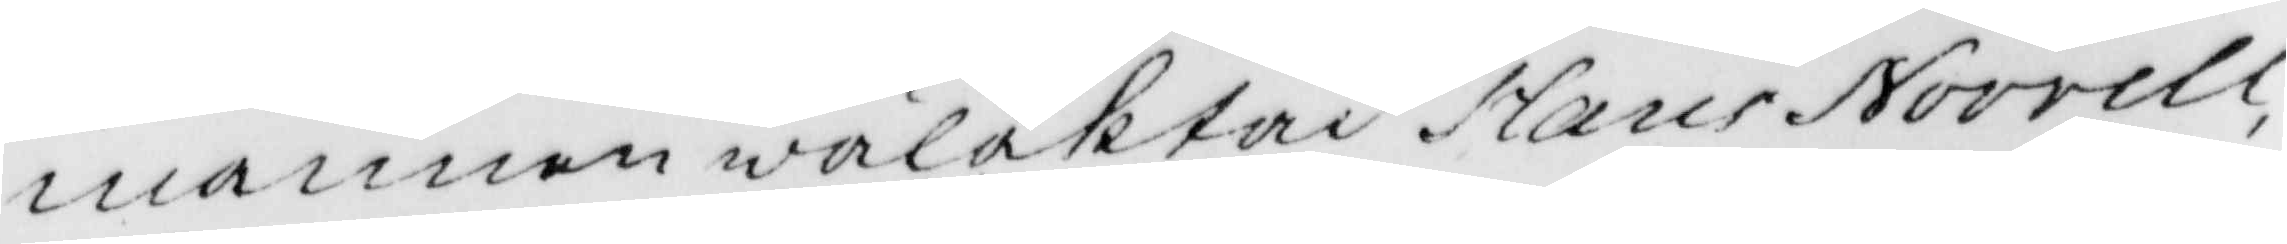mannen wälaktad Hans Norrell,
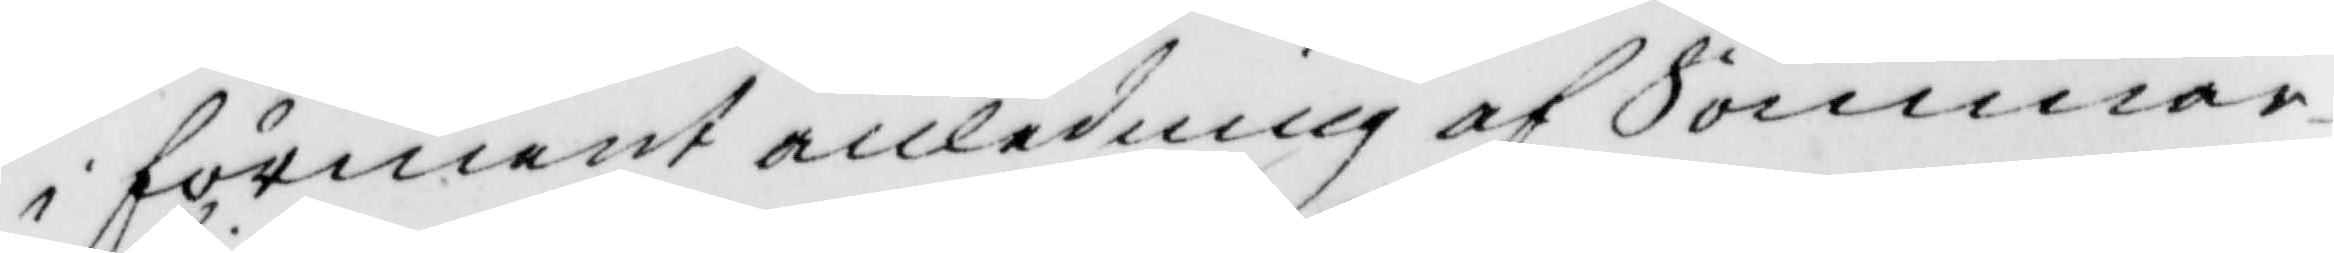i förment anledning af Sommar¬
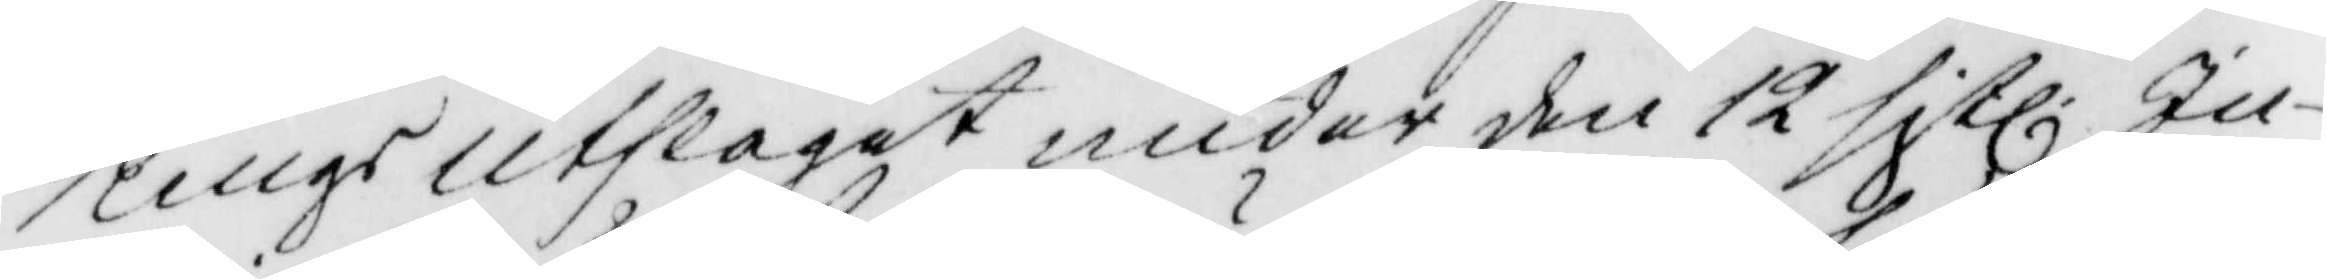Tings utslaget under den 12 sistl. Ju¬
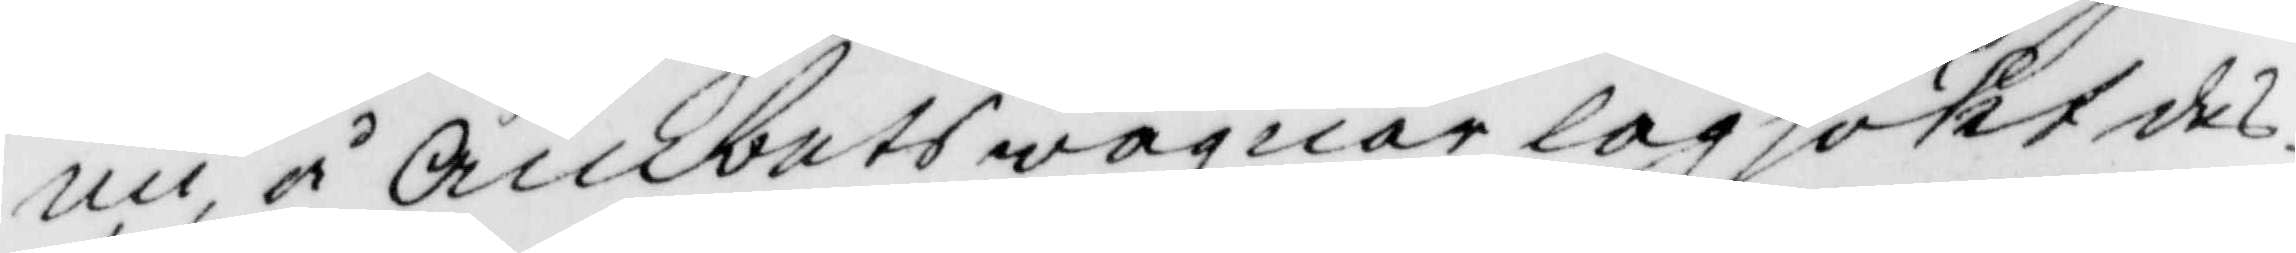nii, å Ämbets wägnar lagsökt des¬
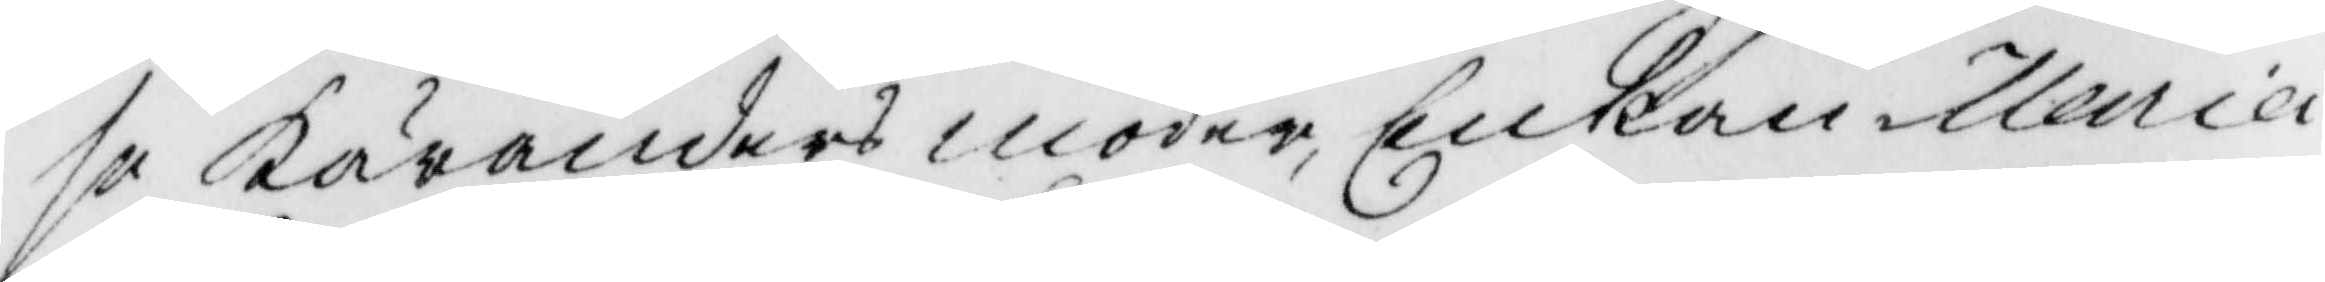se Käranders moder, Enkan Maria
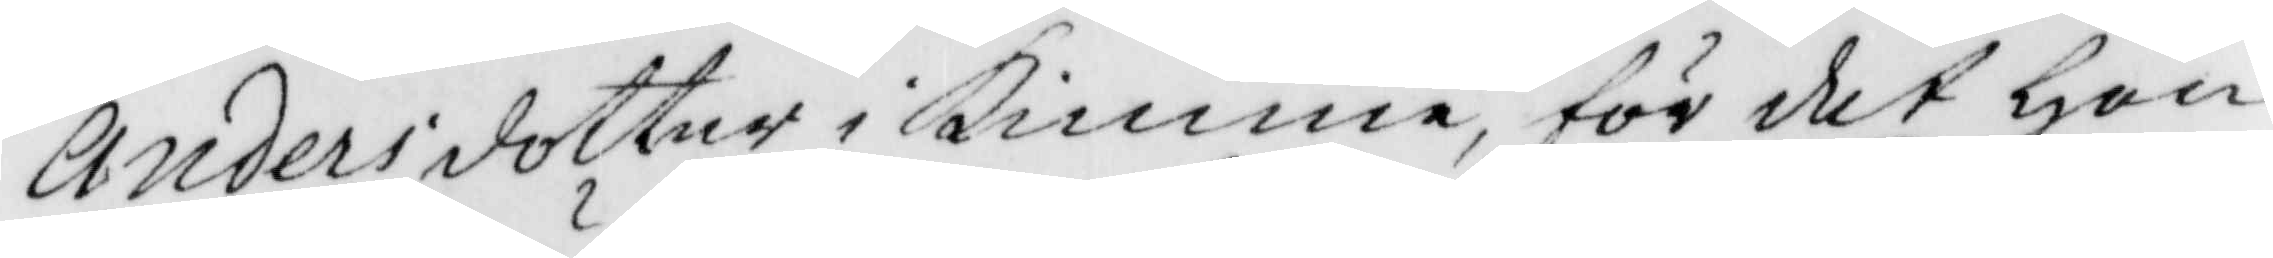Andersdotter i Kimme, för det hon
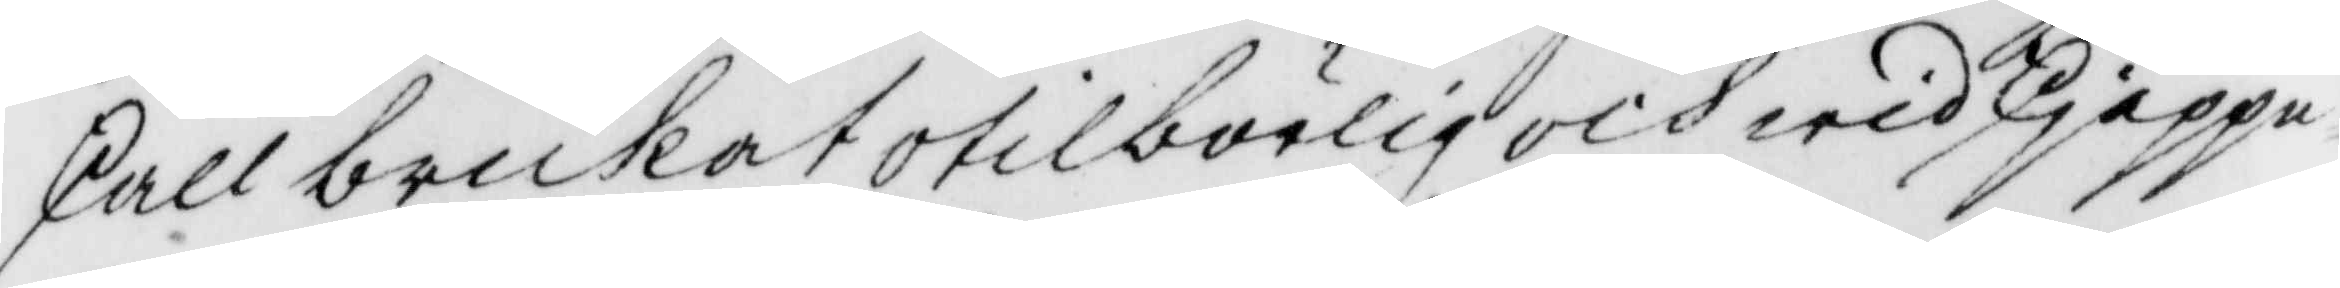skall brukat otilbörlig och wid skieppe¬
